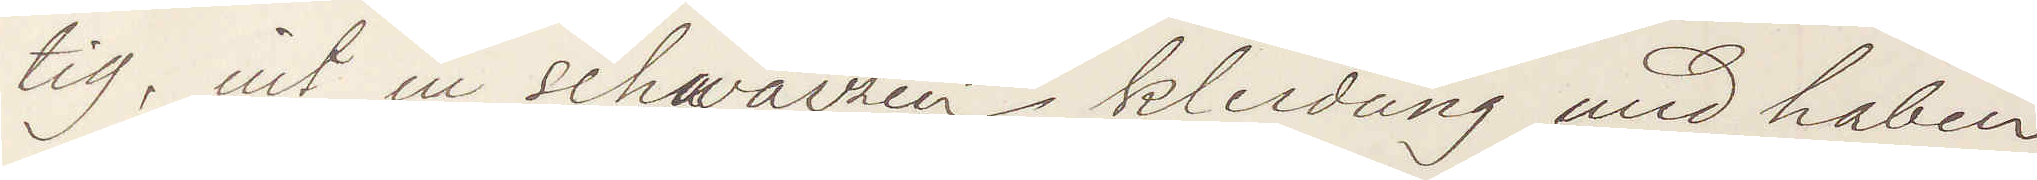tig, mit in schwarzen kleidung und haben
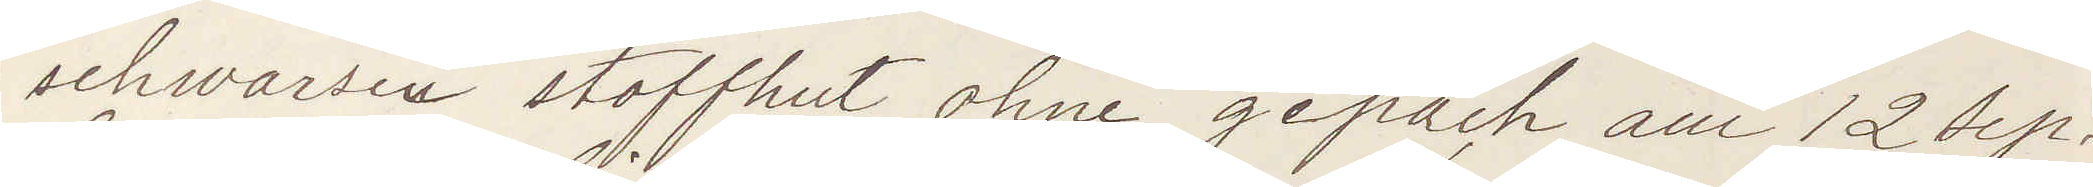schwarzen stoffhut ohne gepäch aus 12 Sep¬
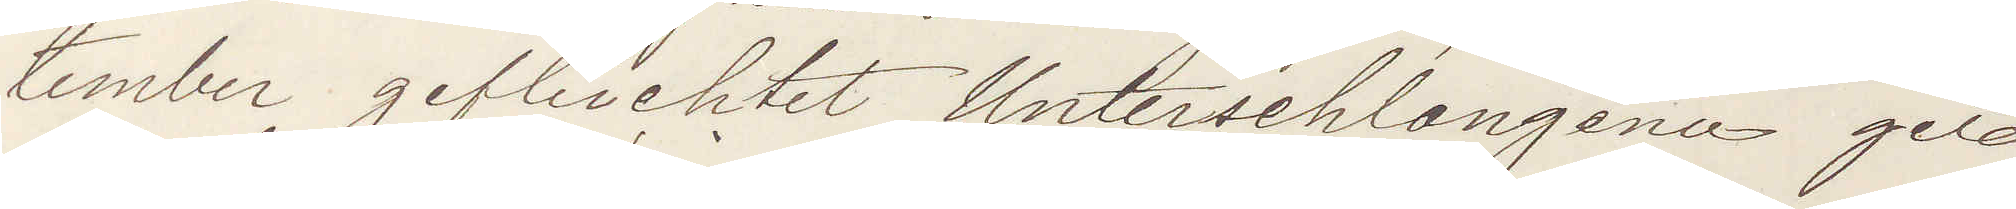tember gefluchtet Untershlongenu geld
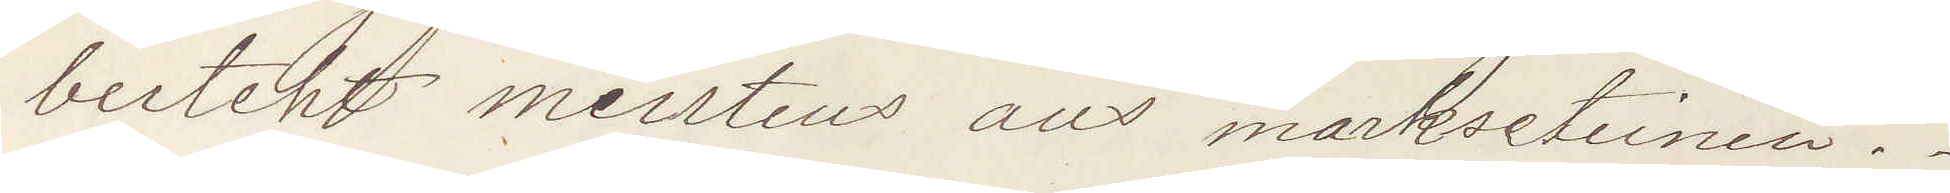besteht meistens aus markssteinen.
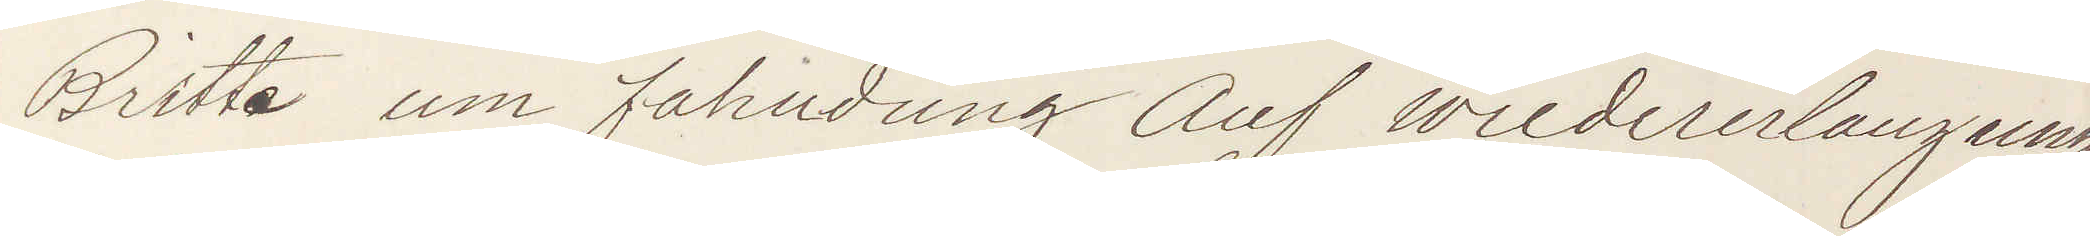Britte um faherdung Auf wiedererlangung
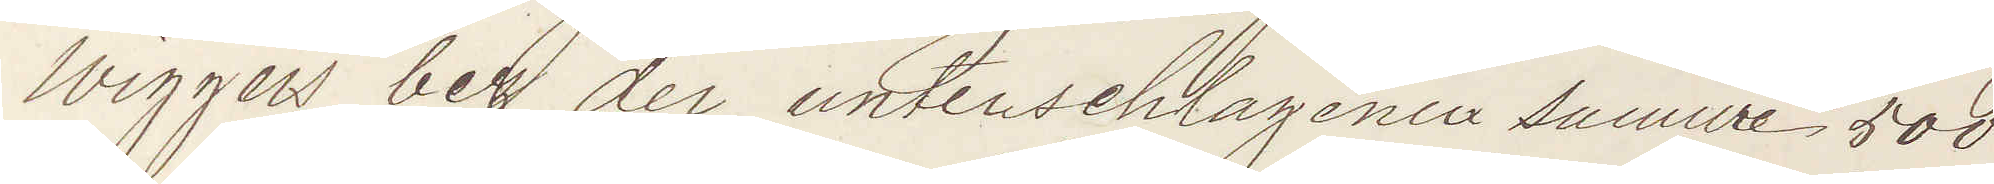Wiggers beg der unterschlagenur Summe 500
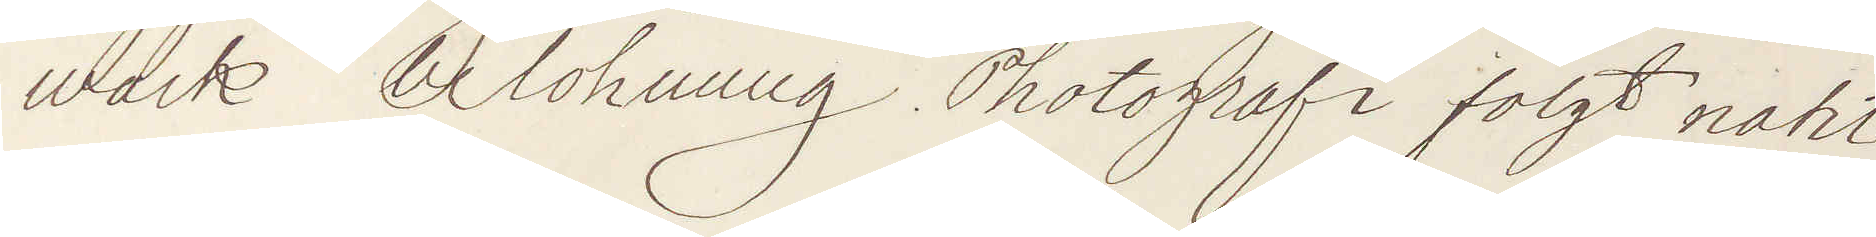mark belohnung. Photografi folgt nacht
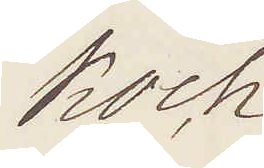Koch
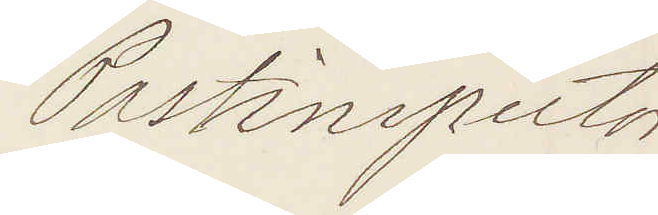Postinspector
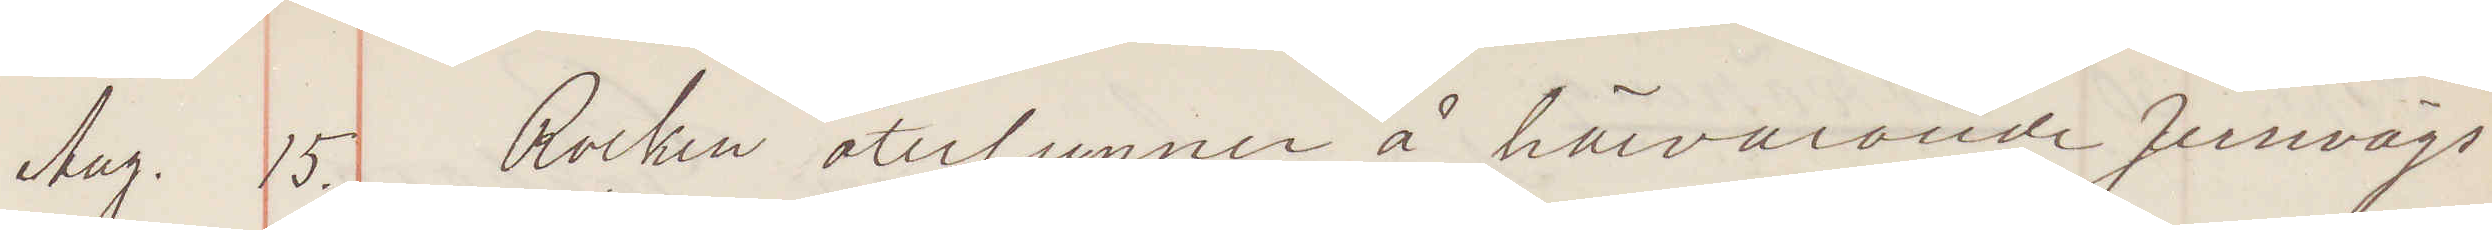Aug. 15. Rocken återfunnen å härvarande Jernvägs¬
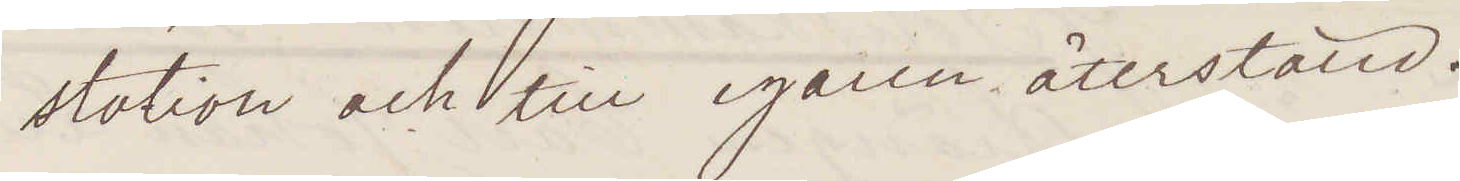station och till egaren återställd.
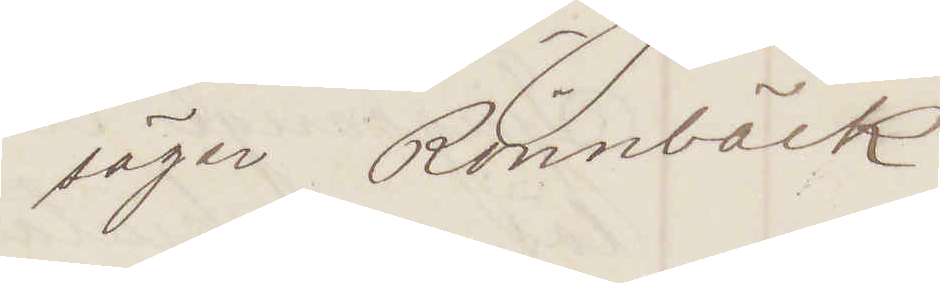säger Rönnbäck
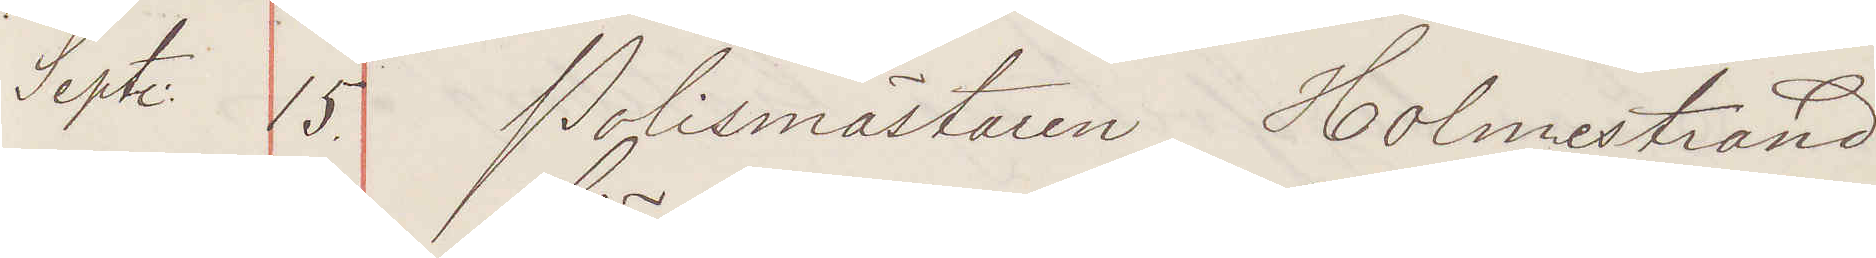Sept. 15. Polismästaren Holmestrand
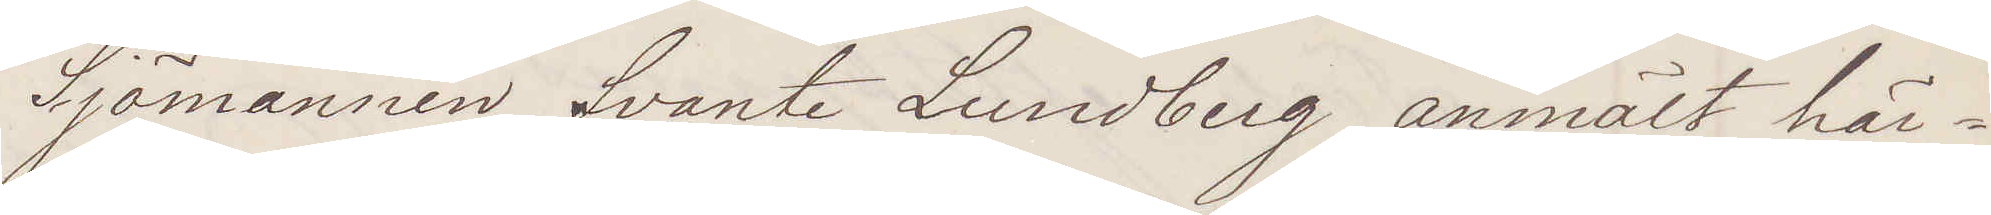Sjömannen Svante Lundberg anmält här¬
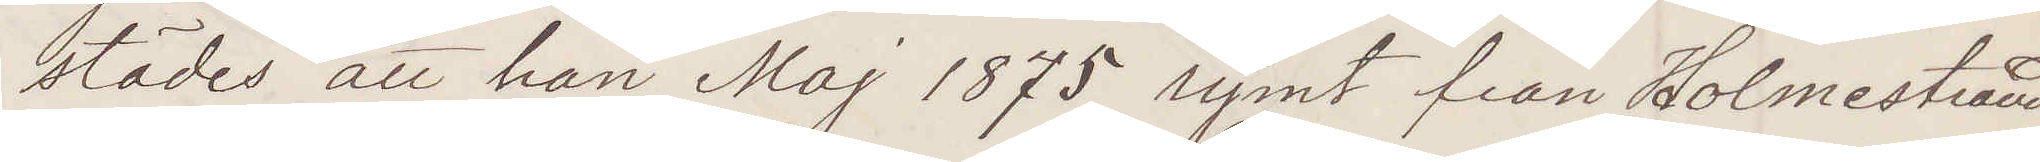städes att han Maj 1875 rymt från Holmestrand
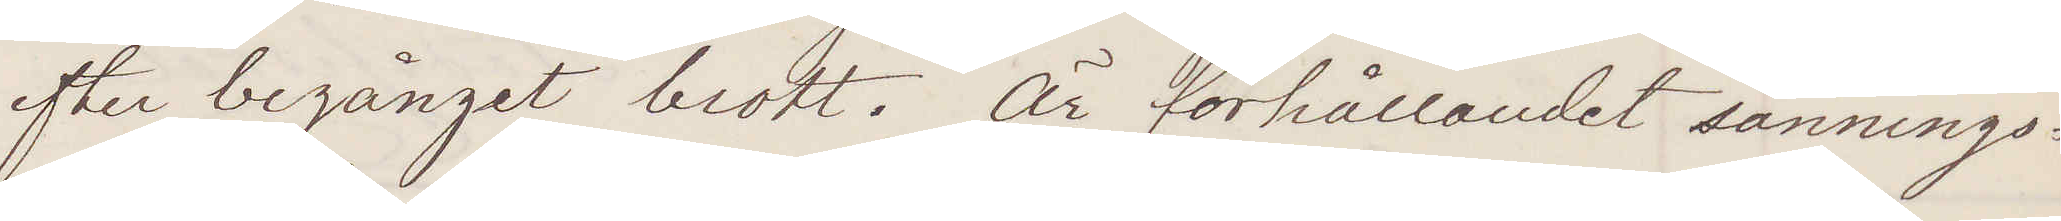efter begånget brott. Är förhållandet sannings¬
